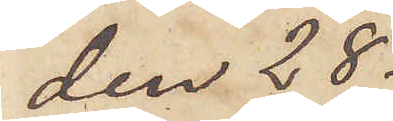den 28
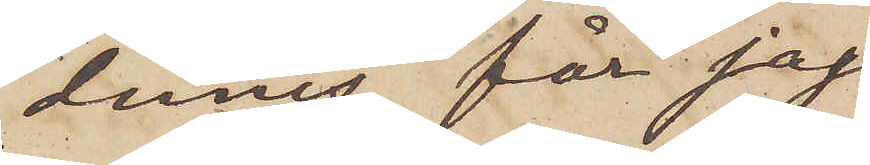dennes, får jag
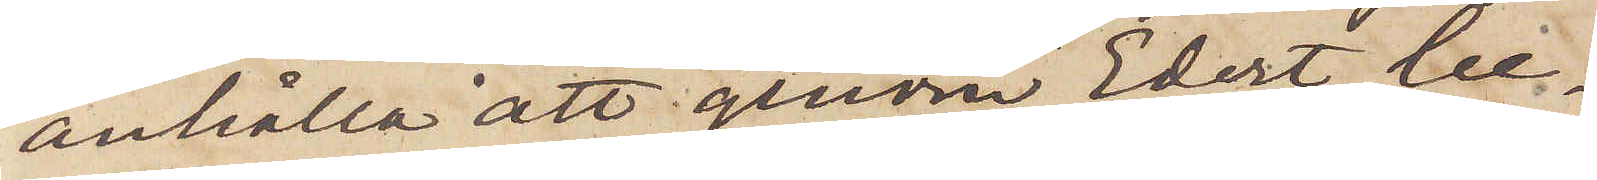anhålla att genom Edert be¬
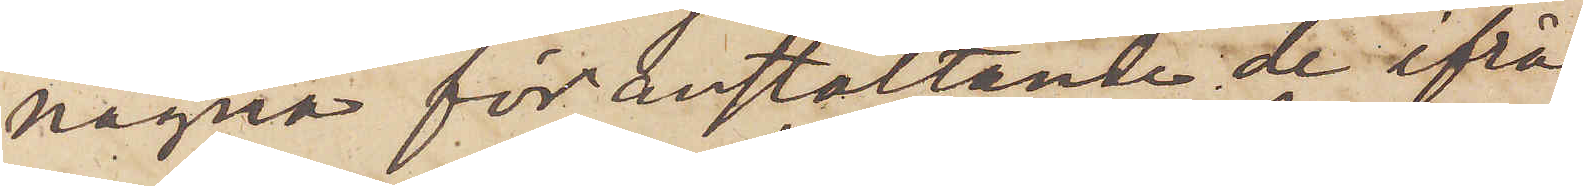nägna föranstaltande de ifrå¬
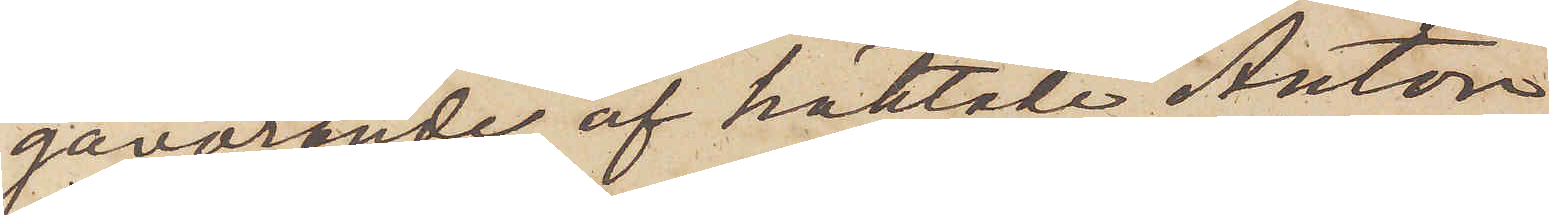gavarande, af häktade Anton
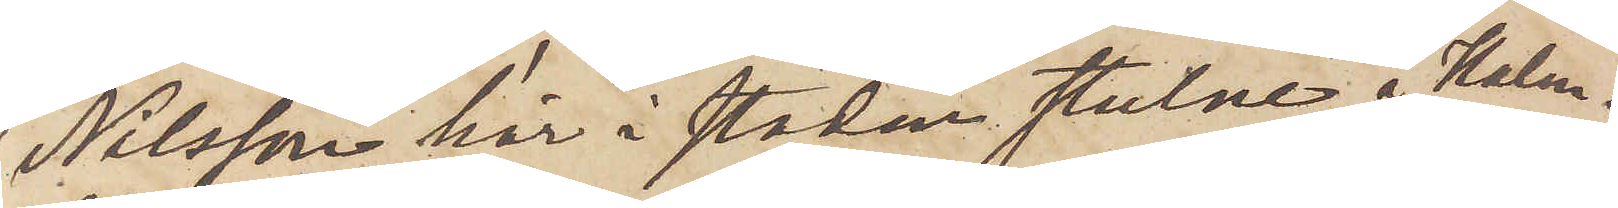Nilsson här i staden stulne, å Halm¬
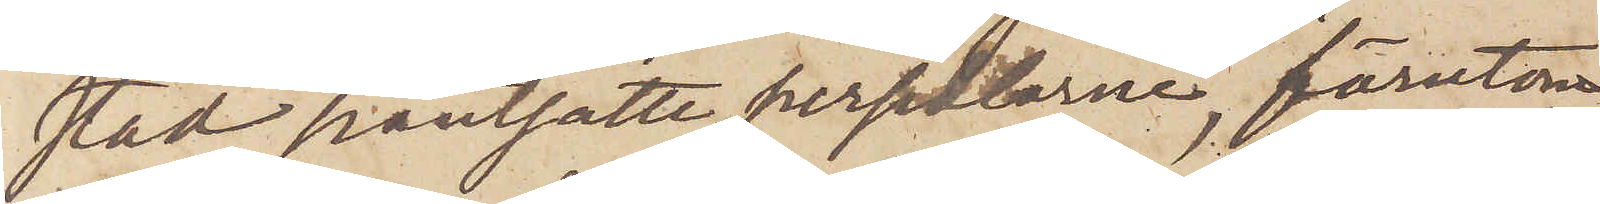stad pantsatte persedlarne, förutom
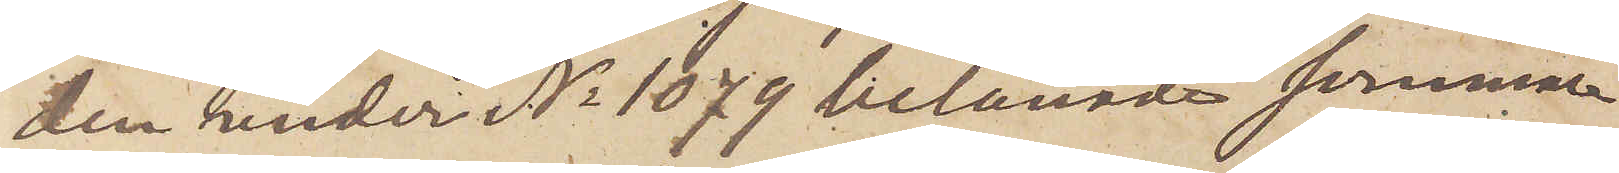den under No 1079 belånade sommar¬
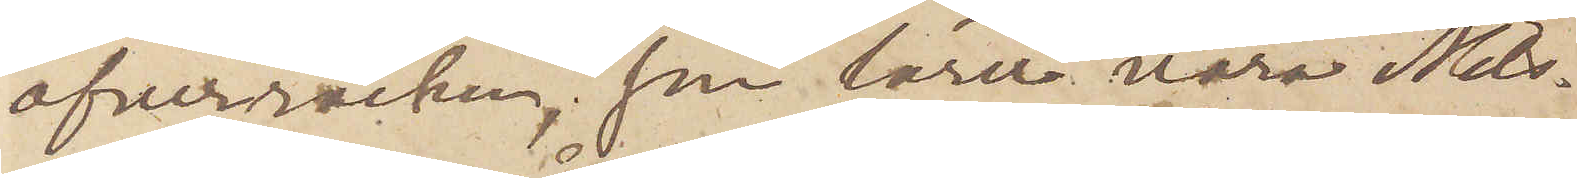öfverrocken, som lärer vara Nils¬
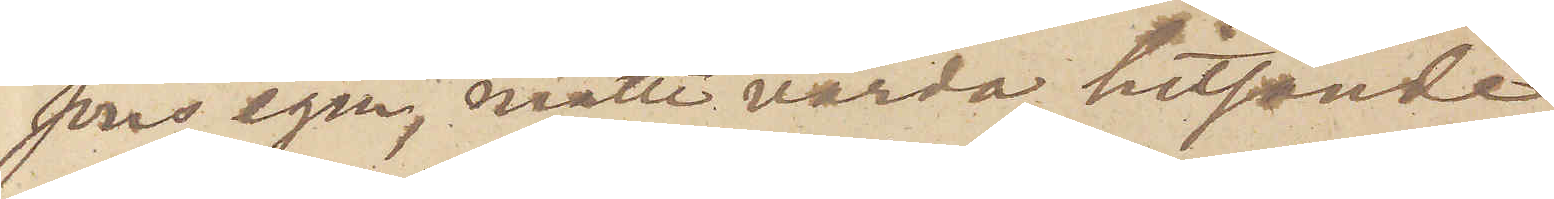sons egen, måtte varda hitsände
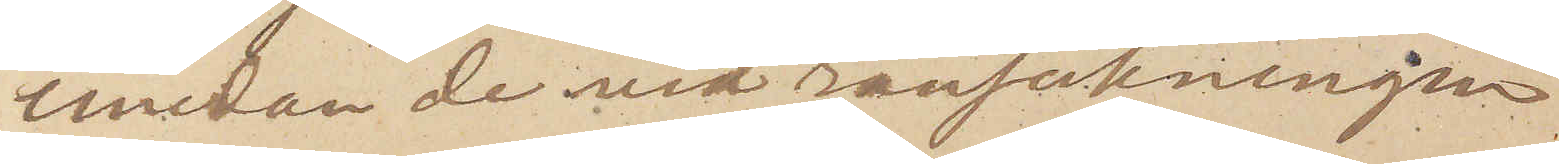emedan de vid ransakningen
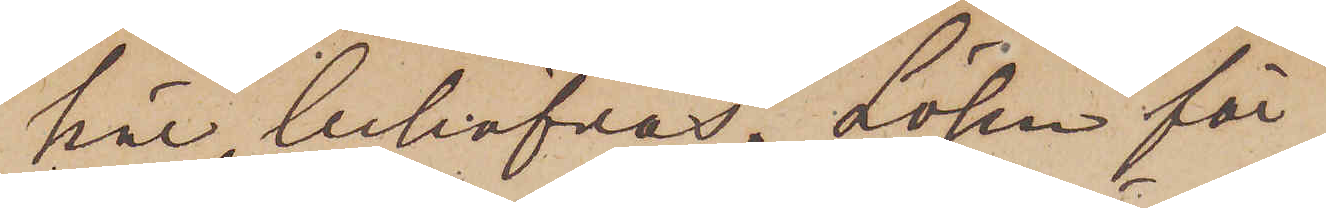här behöfvas. Lösen för
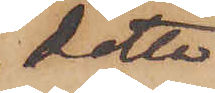detta
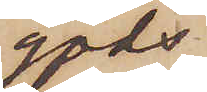gods,
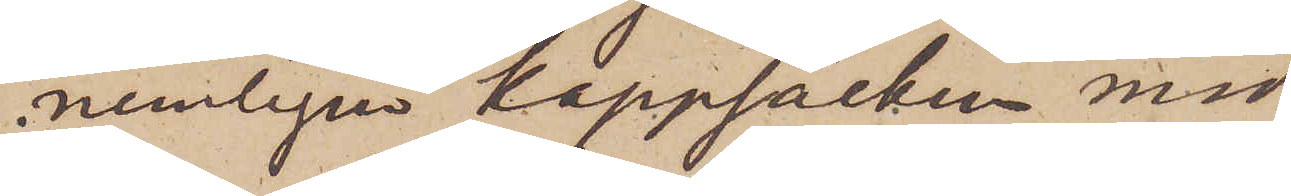nemligen kappsäcken med
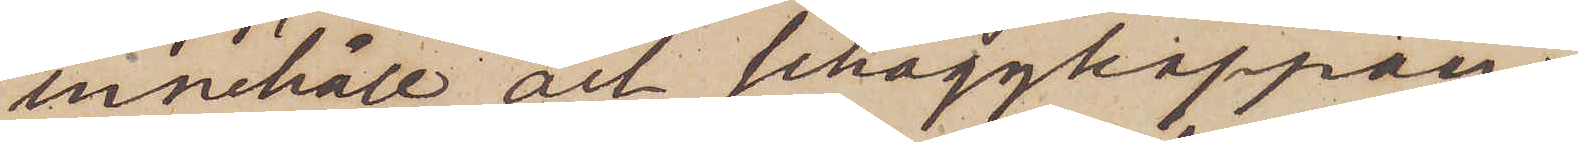innehåll och schaggkappan,
